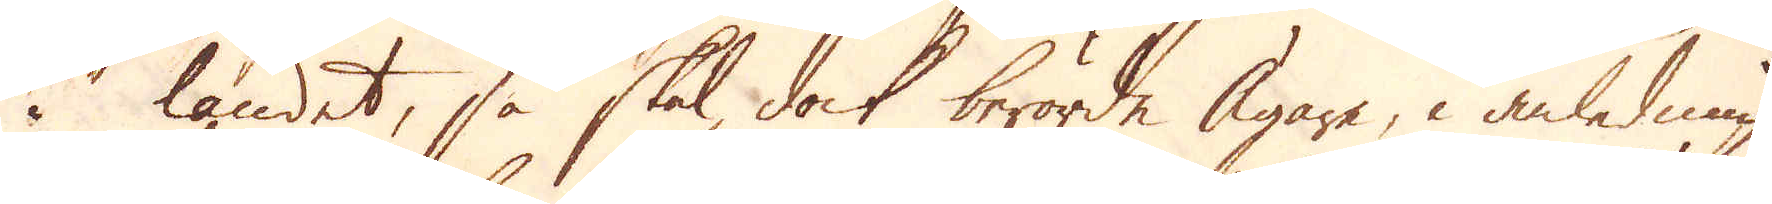i landet, så skall dock berörde Ägare, i anledning
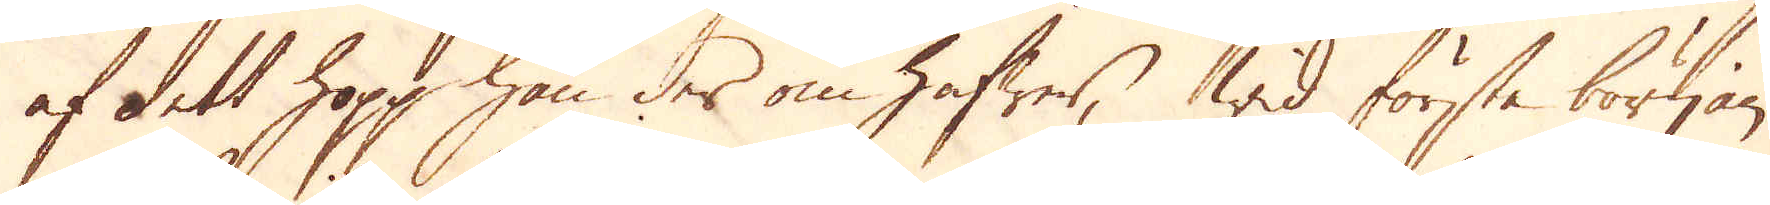af dett hopp han der om hafwer, wid första början
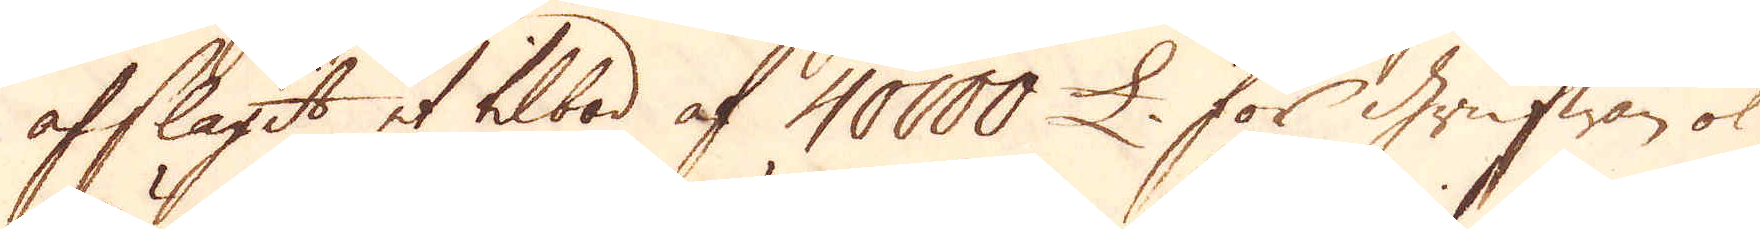afslagit et tilbod af 40000 £. för Grufwan ok
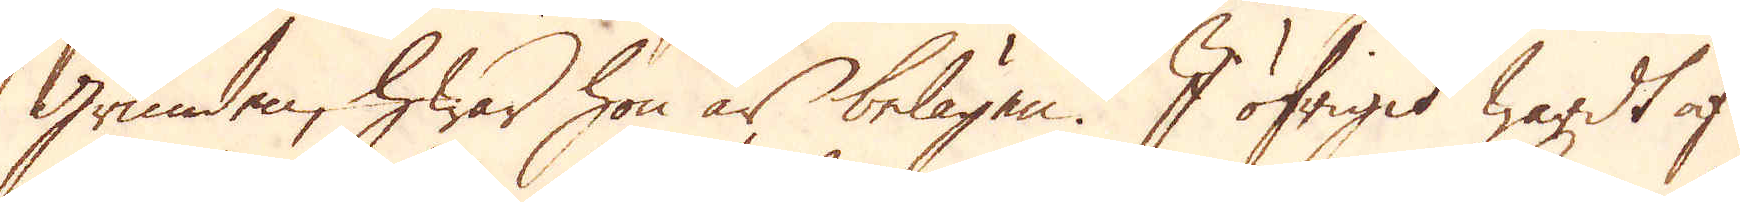Grunden, hwar hon är belägen. I öfrigit wardt af
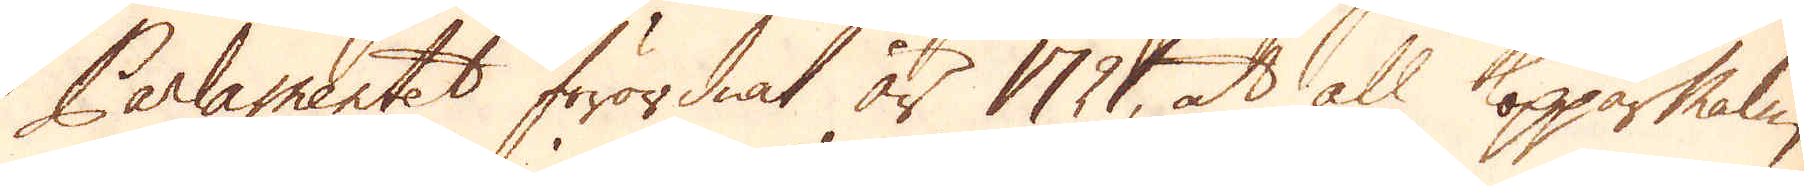Parlamentet förordnat år 1721, at all Kopparmalm,
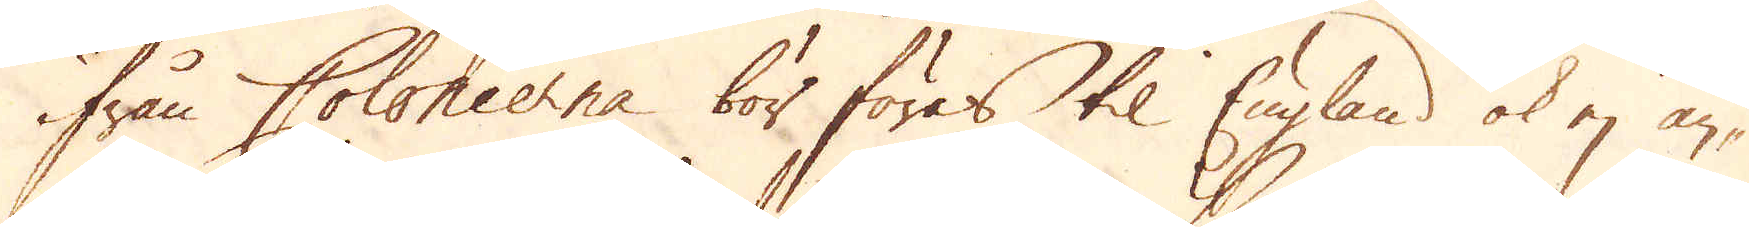ifrån Colonierne bör föres til England ok ej an-
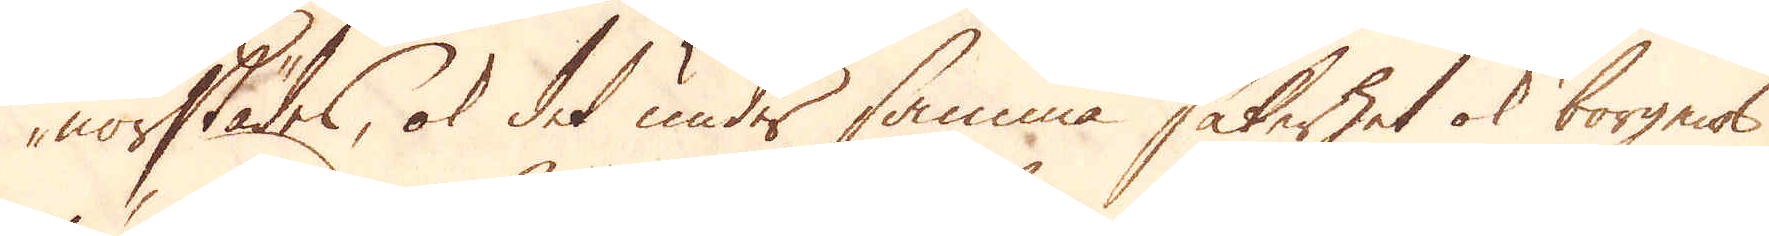norstädes, ok det under samma säkerhet ok borgnot
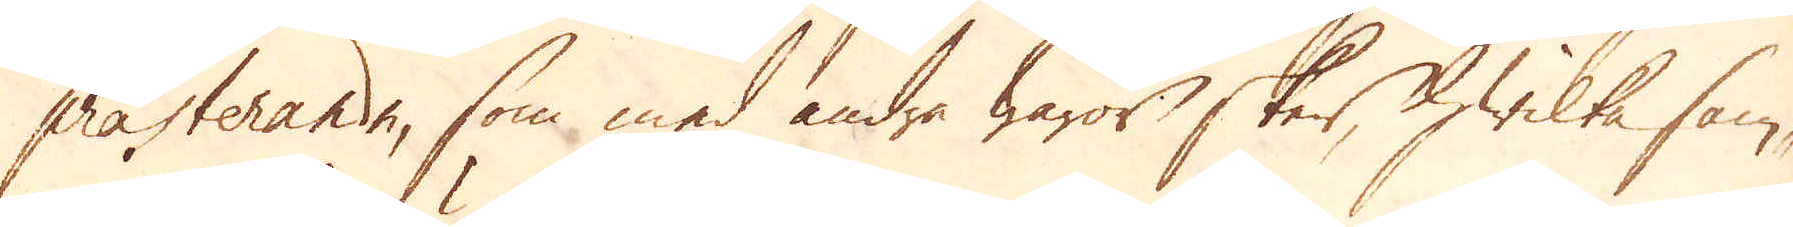prästerande, som med andra waror sker, hwilka sam-
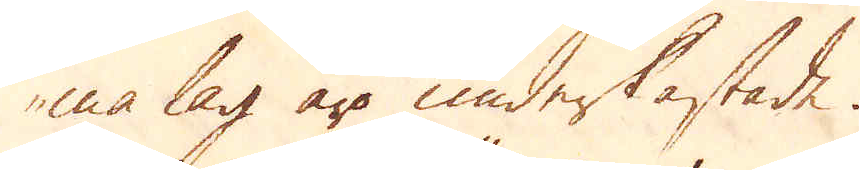ma lag äro underkastade.
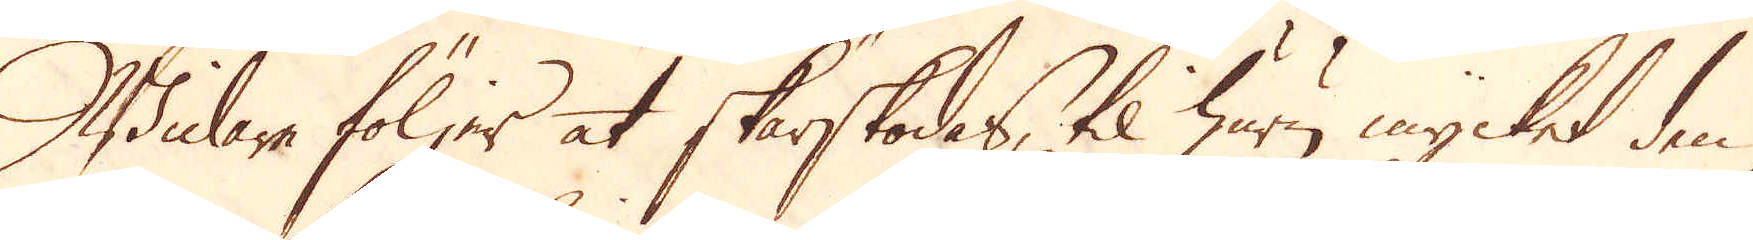Widare följer at skärskodas, til huru mycket den
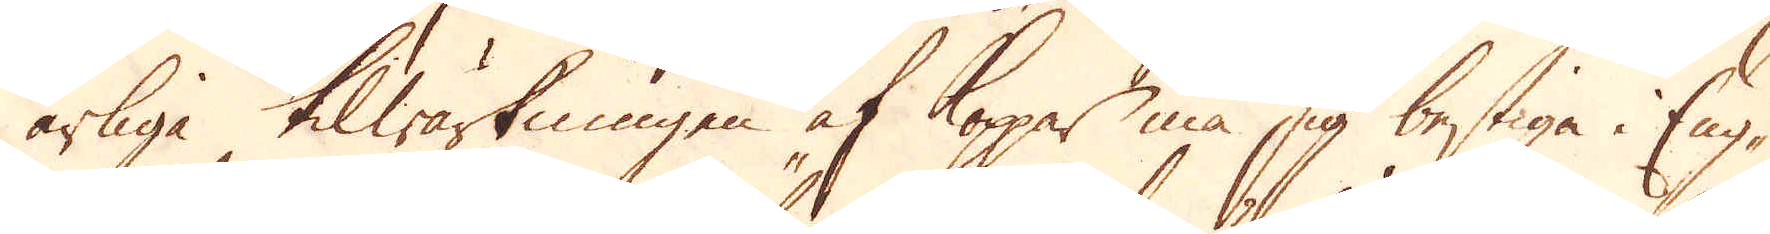årliga tilwärkningen af Kopar må sig bestiga i Eng-
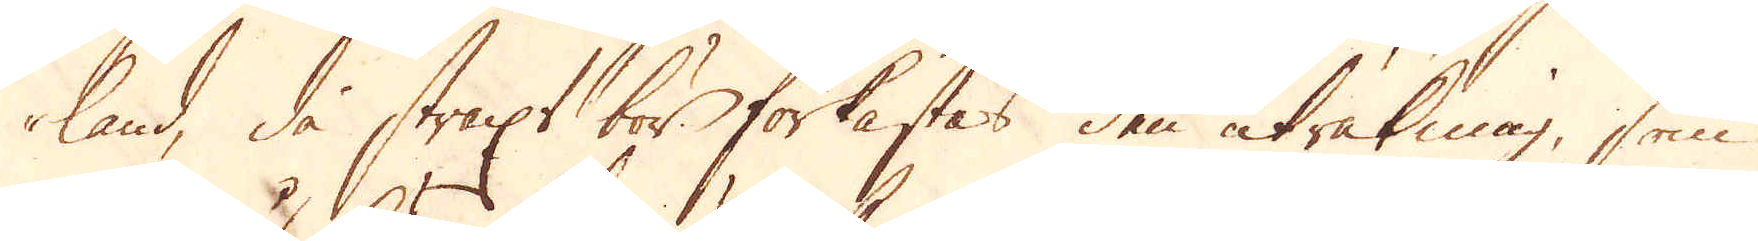land, de straxt bör förkastes den uträkning, som
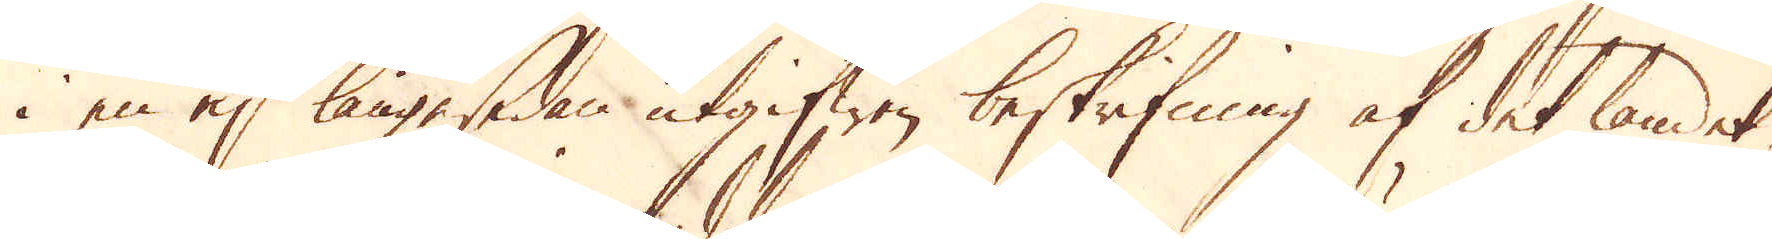i en ej länge sedan utgifwen beskrifning af det landet
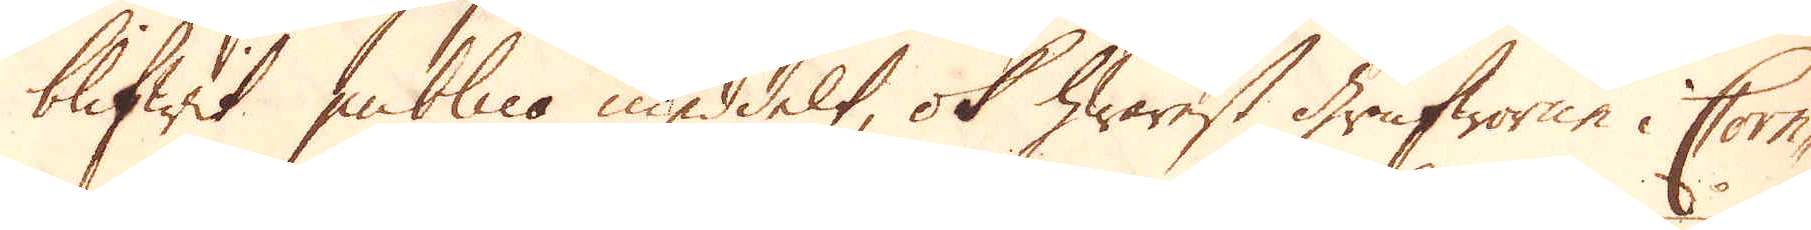blifwit publico meddelt, ok hwarest Grufworne i Corn-
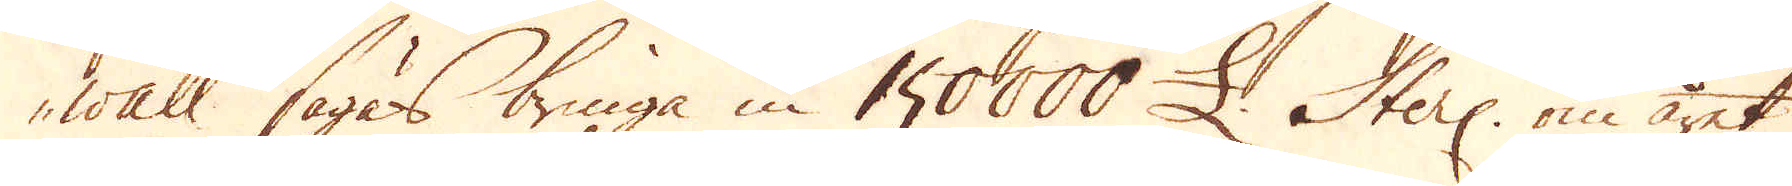wall sägas bringa in 150000 £ Sterl: om året,
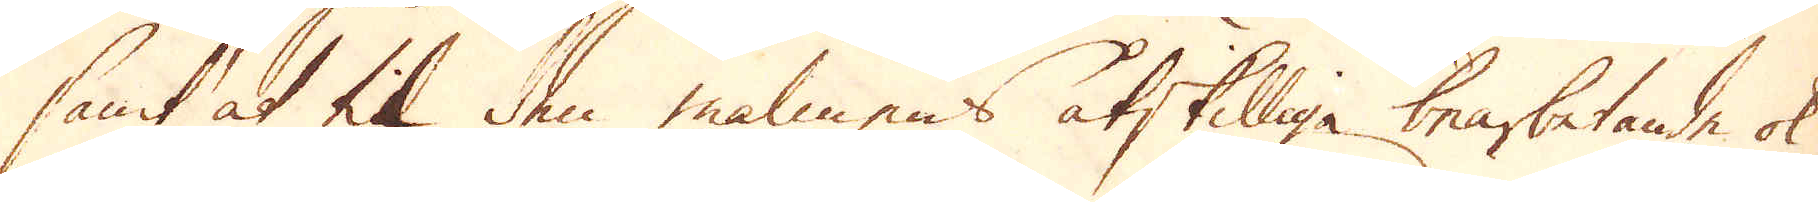samt at til den malmens åtskilliga bearbetande ok
